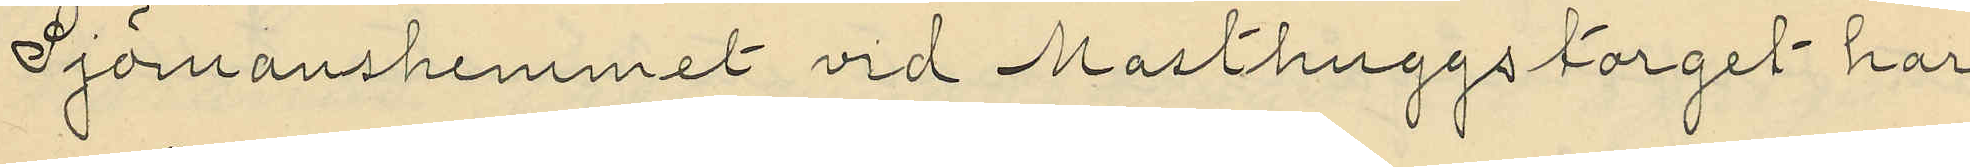Sjömanshemmet vid Masthuggstorget har
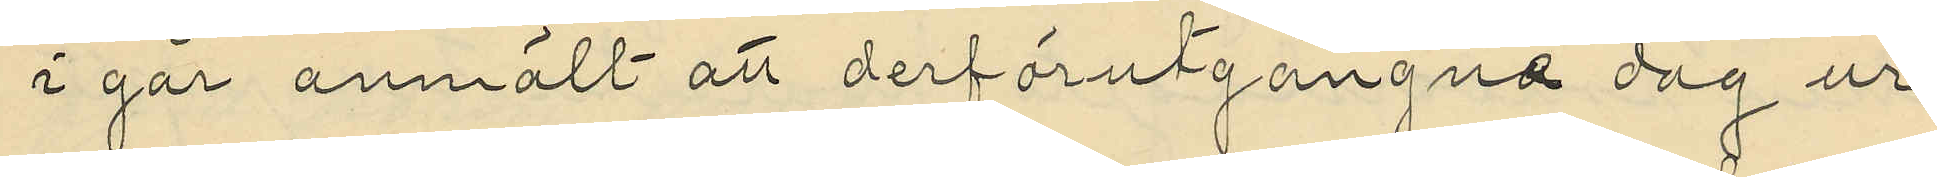i går anmält att derförutgångne dag ur
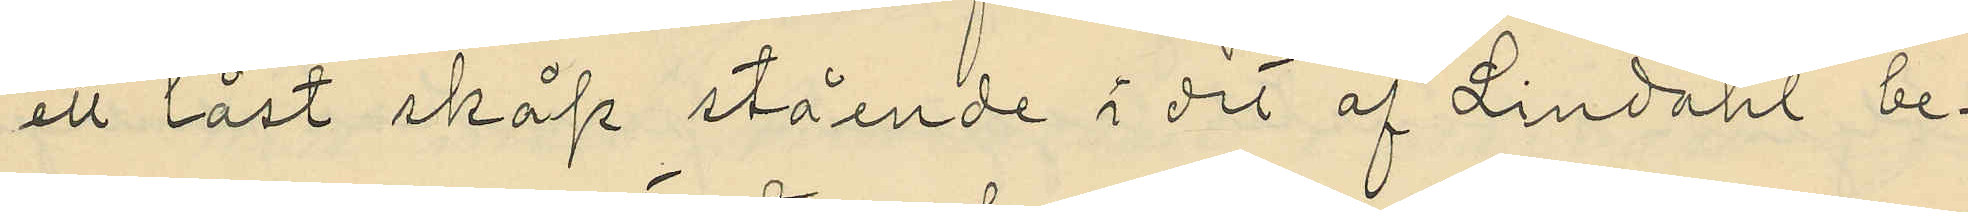ett låst skåp stående i det af Lindahl be¬
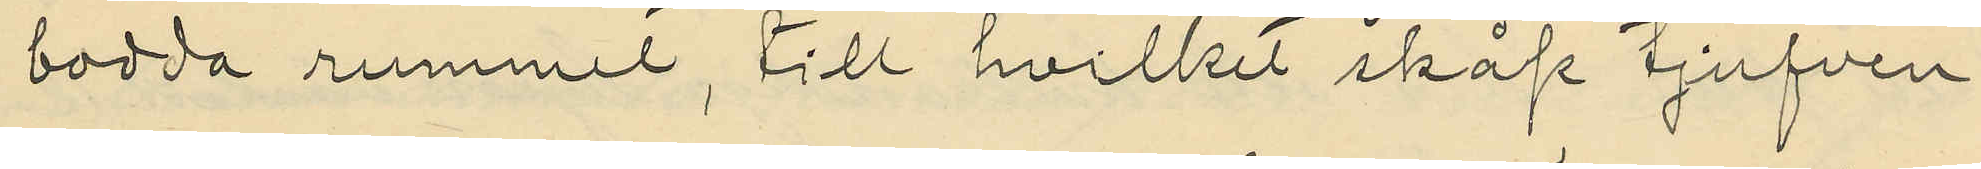bodda rummet, till hvilket skåp tjufven
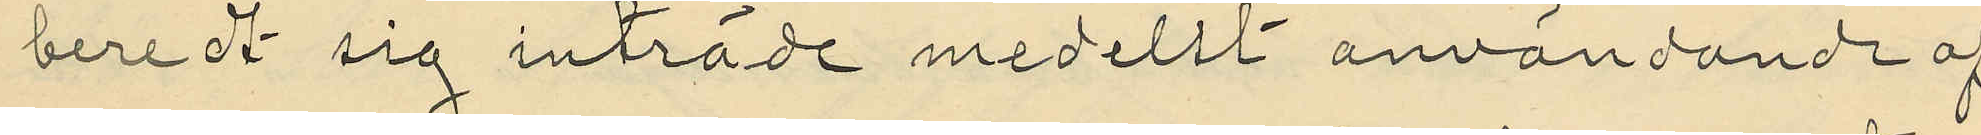berett  sig inträde medelst användande af
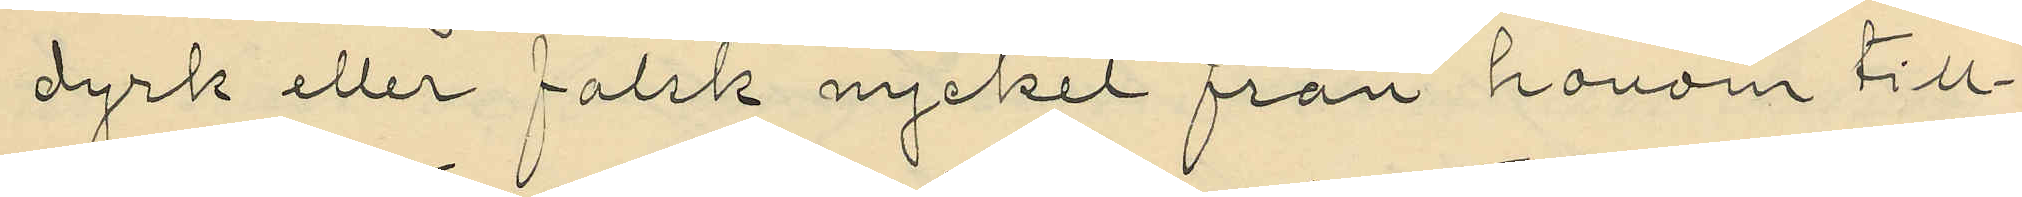dyrk eller falsk nyckel från honom till¬
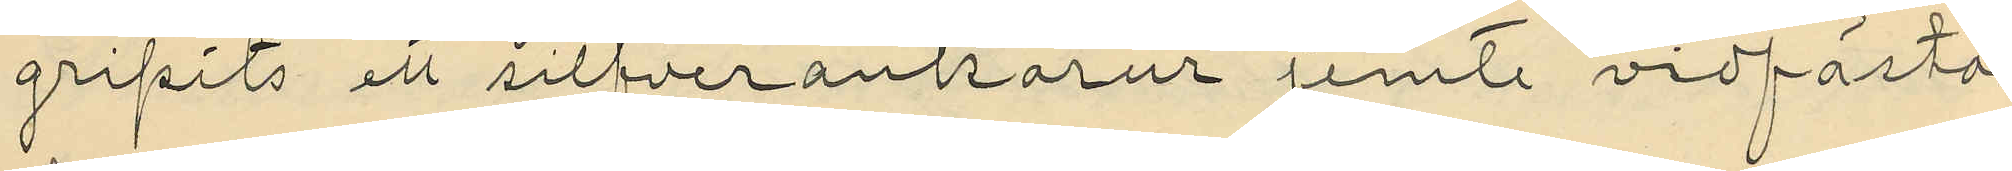gripits ett silfverankarur jemte vidfästad
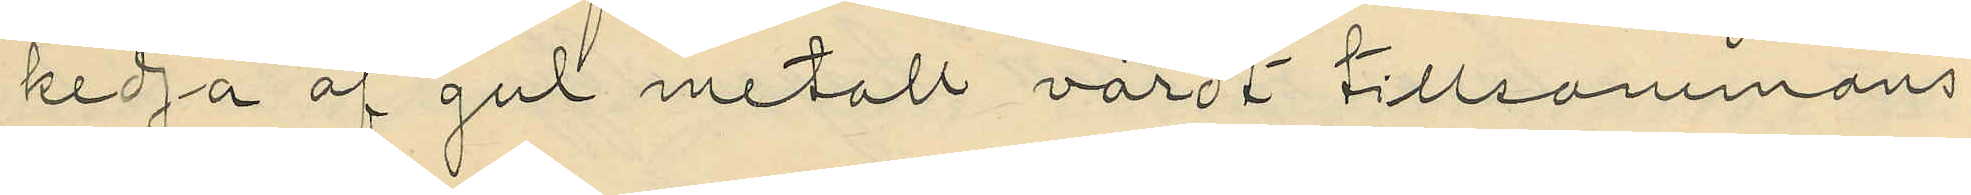kedja af gul metall värdt tillsammans
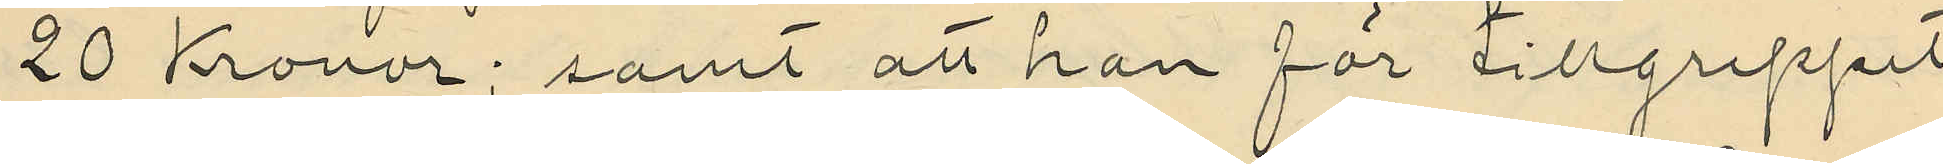20 Kronor; samt att han för tillgreppet
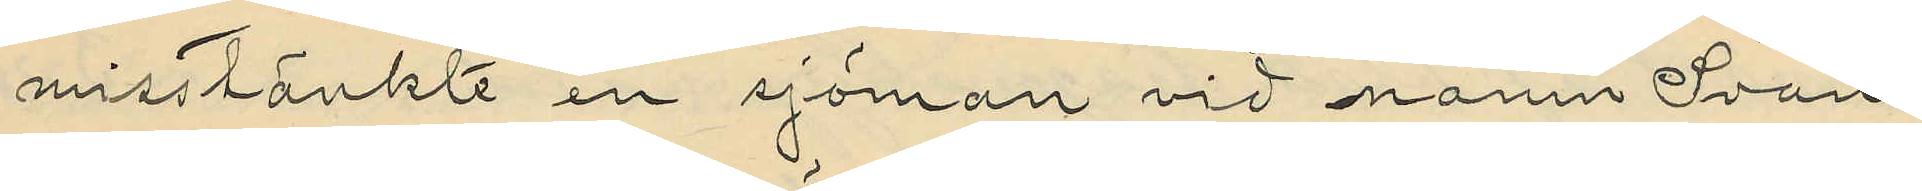misstänkte en sjöman vid namn Svan¬
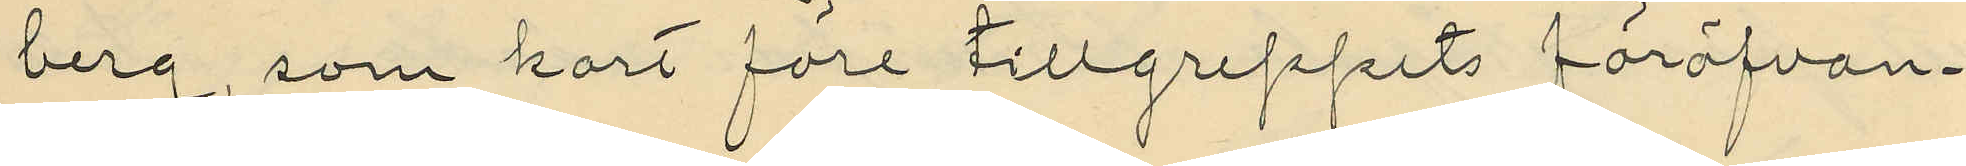berg, som kort före tillgreppets föröfvan¬
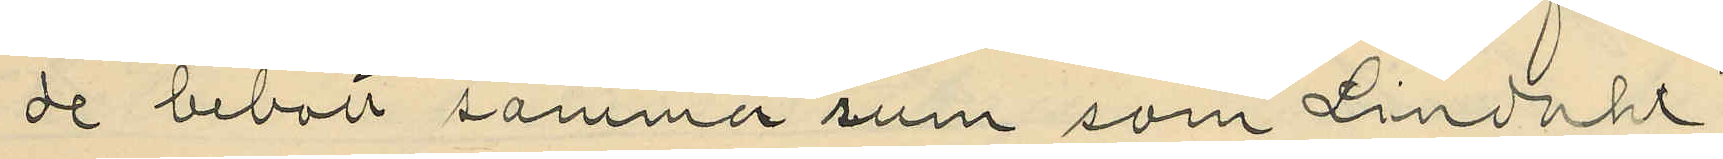de bebott samma rum som Lindahl.
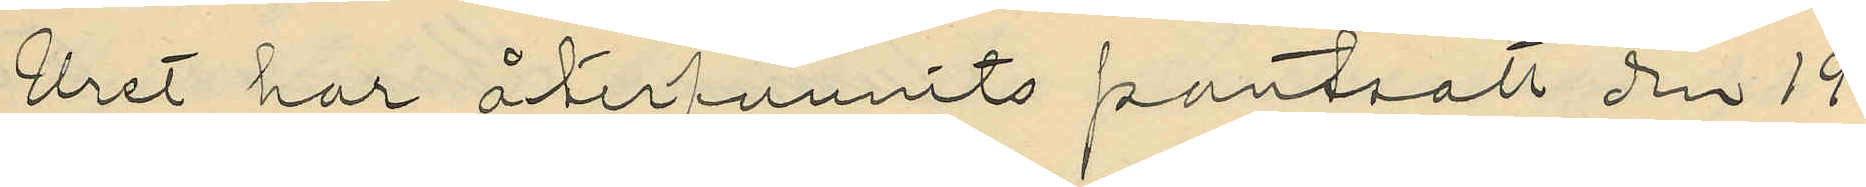Uret har återfunnits pantsatt den 19
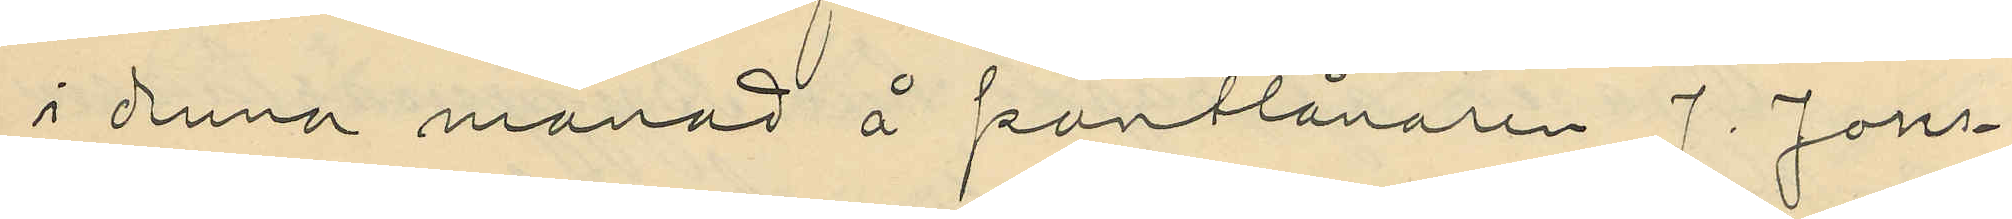i denna månad å pantlånaren J. Jons¬
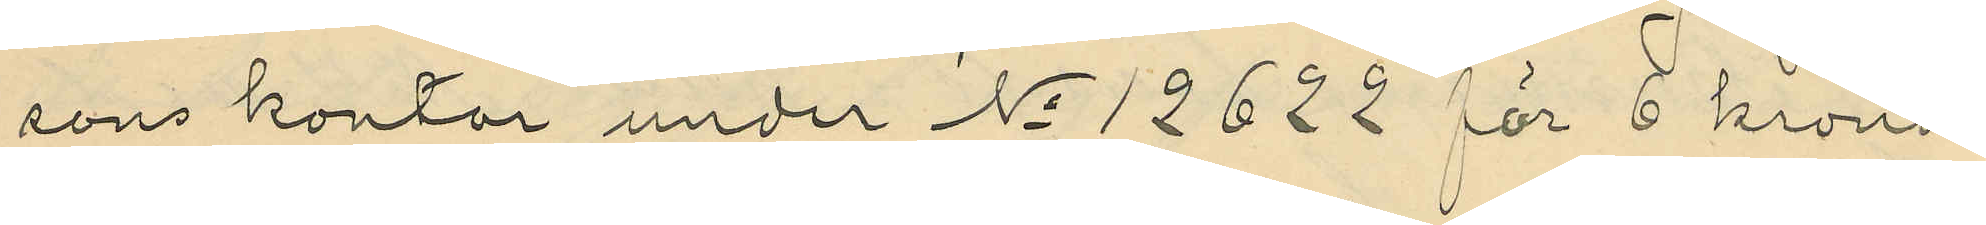sons kontor under No 12622 för 6 kronor
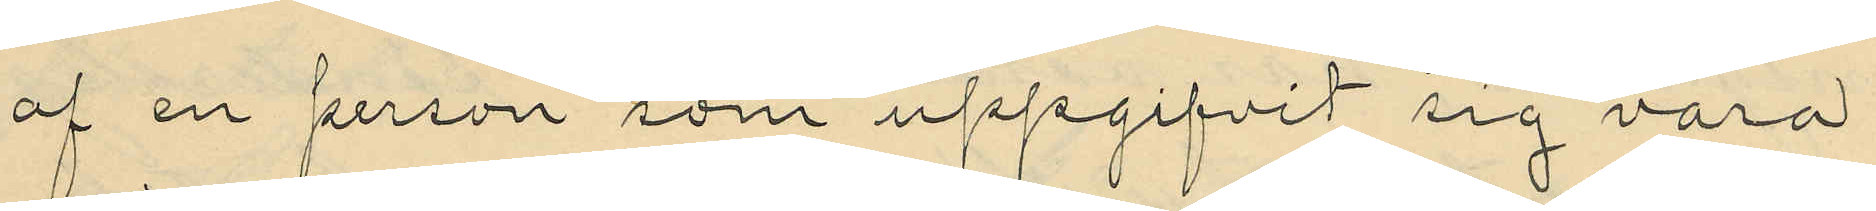af en person som uppgifvit sig vara
